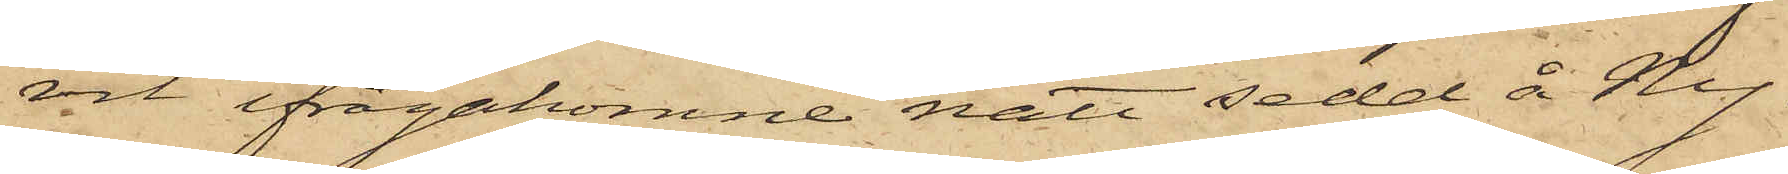vit ifrågakomne natt sedd å Ny¬
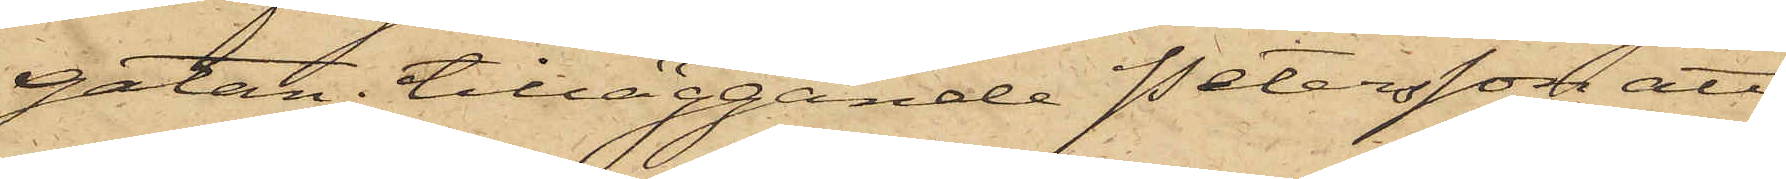gatan, tilläggande Petersson, att
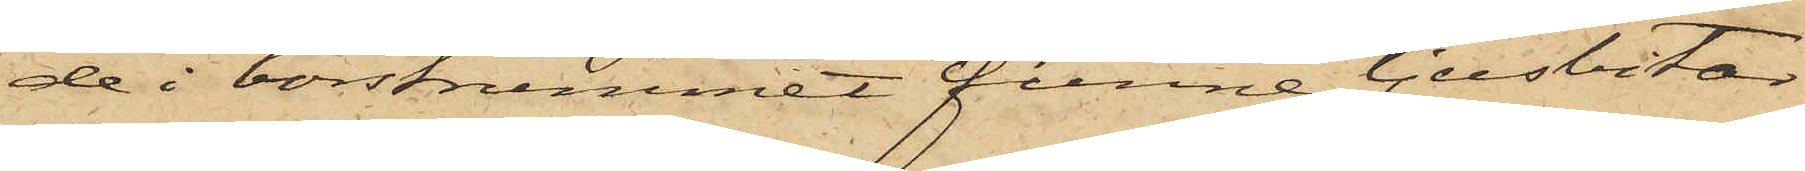de i borstrummet funne ljusbitar
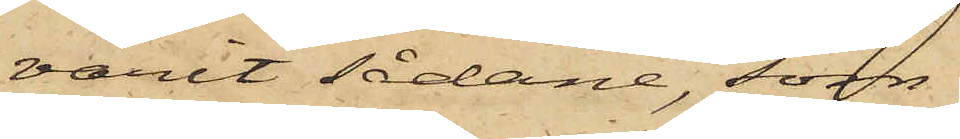varit sådane, som
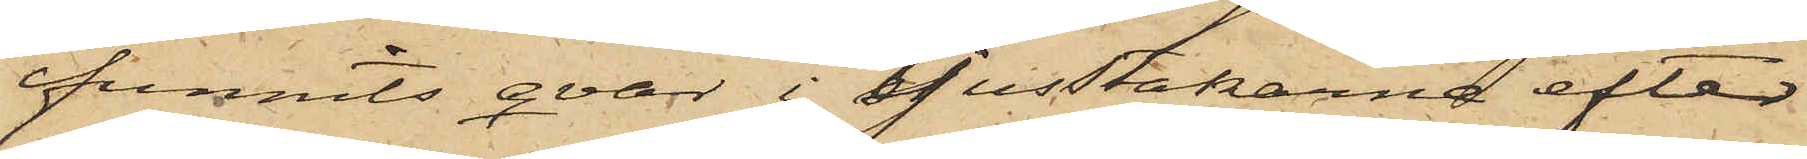funnits qvar i ljusstakarna efter
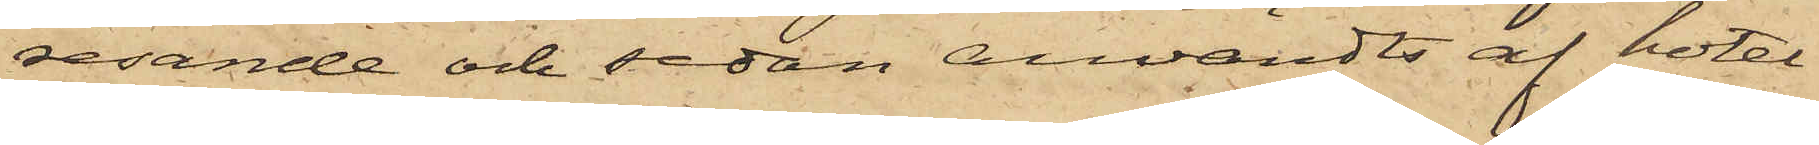resande och sedan användts af hotel¬
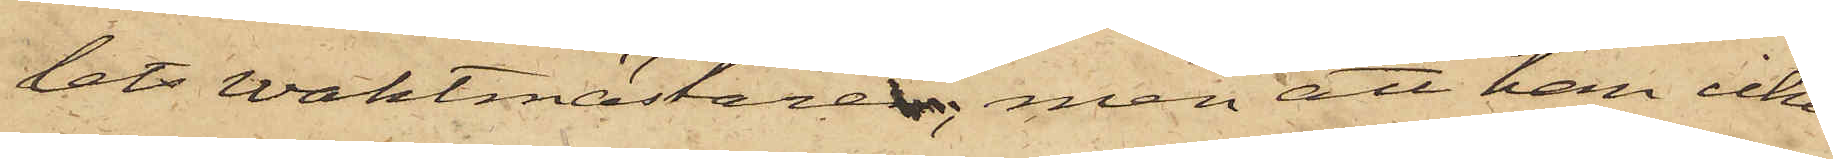lets Waktmästaren, men att han icke
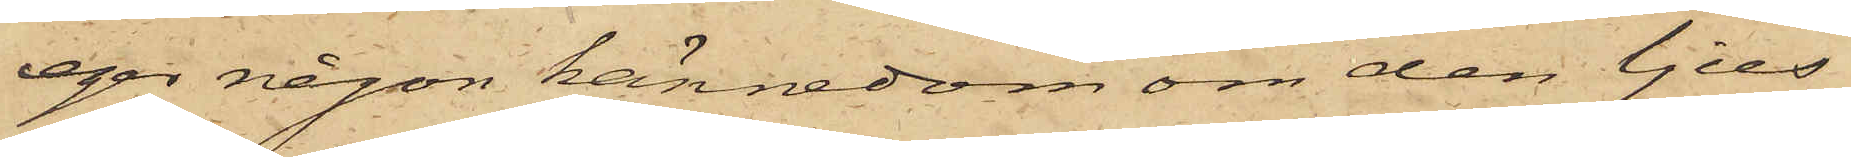eger någon kännedom om den ljus¬
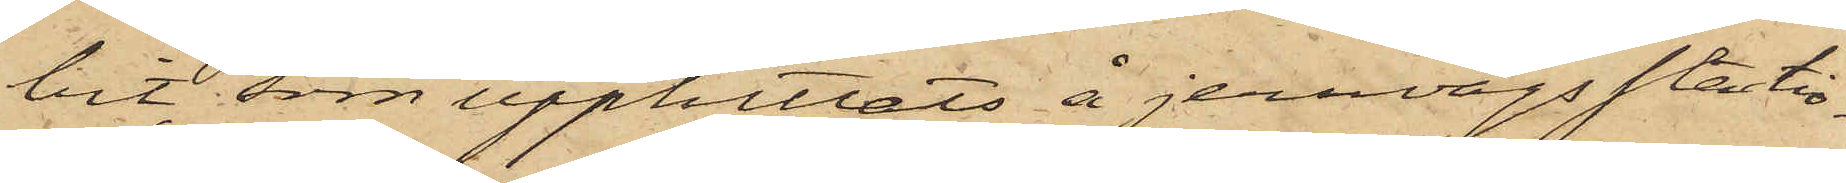bit, som upphittats å jernvägsstatio¬
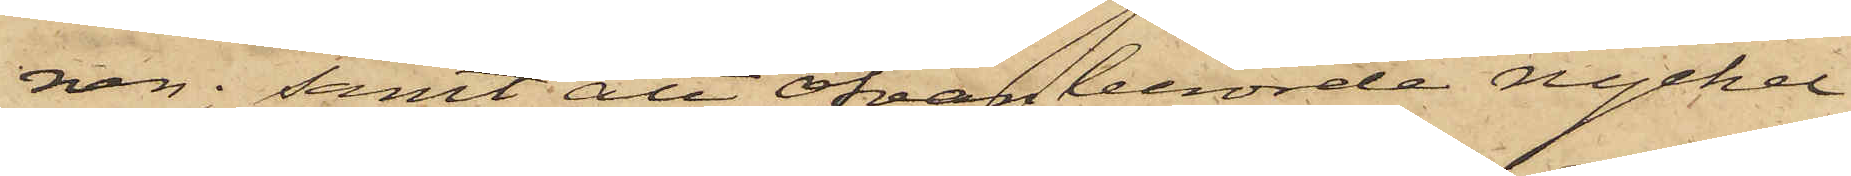nen; samt att ofvanberörde nyckel
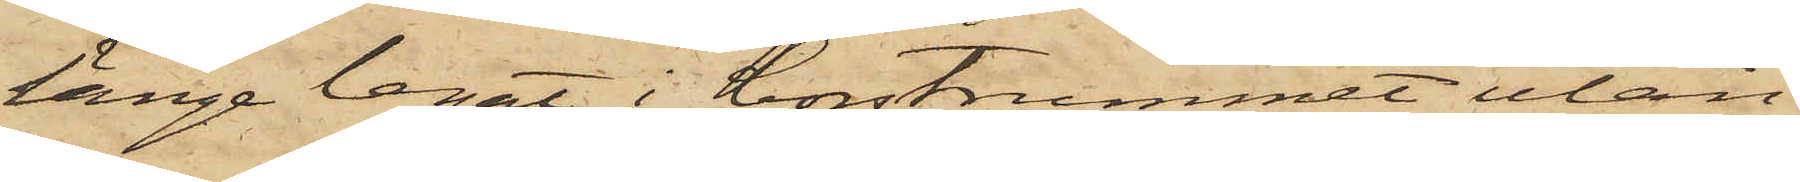länge legat i borstrummet utan
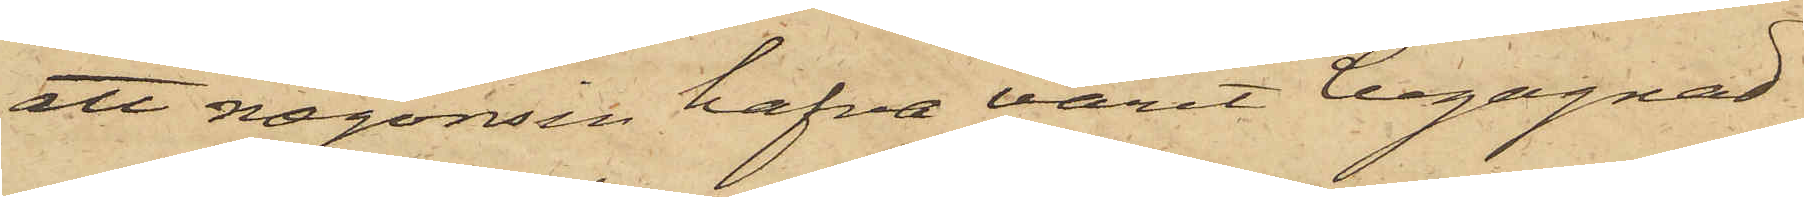att någonsin hafva varit begagnad
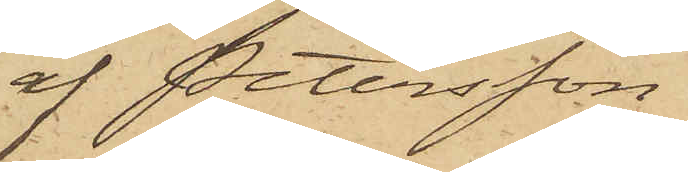af Petersson.
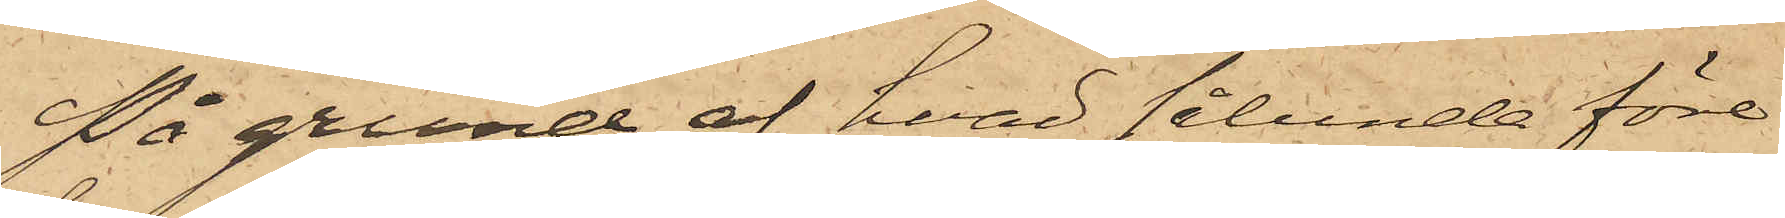På grund af hvad sålunda före¬
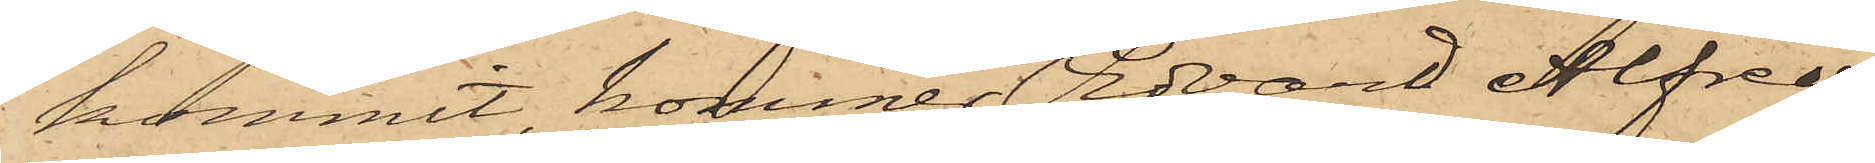kommit, kommer Edvard Alfred
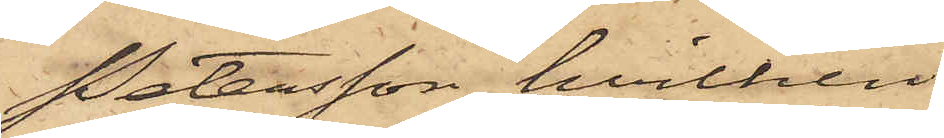Petersson, hvilken
